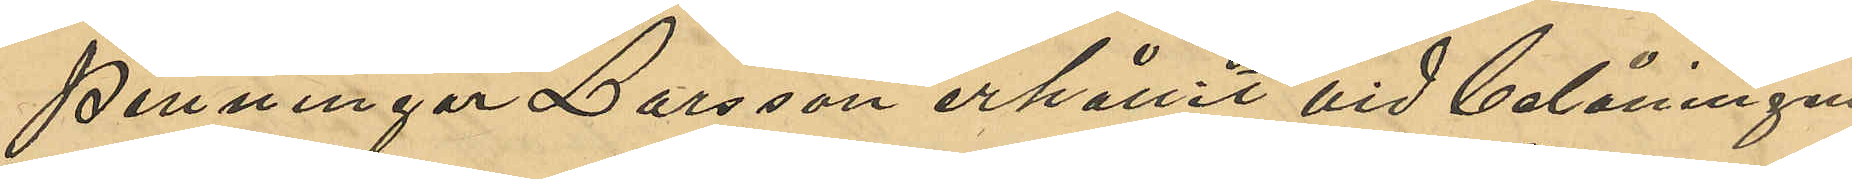penningar Larsson erhållit vid belåningen
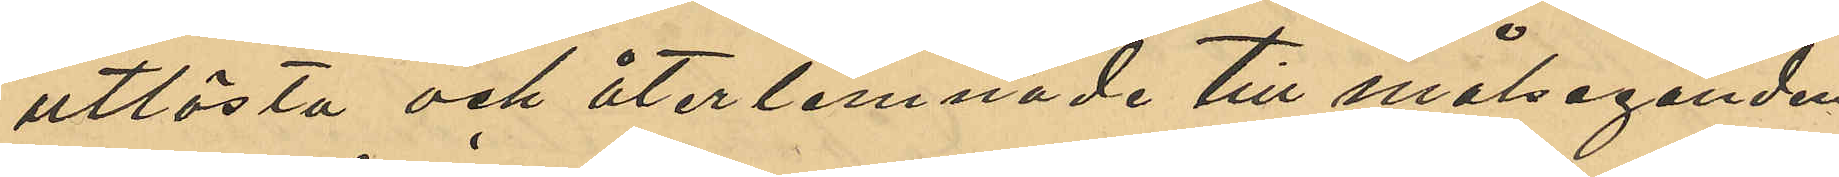utlösta och återlemnade till målseganden.
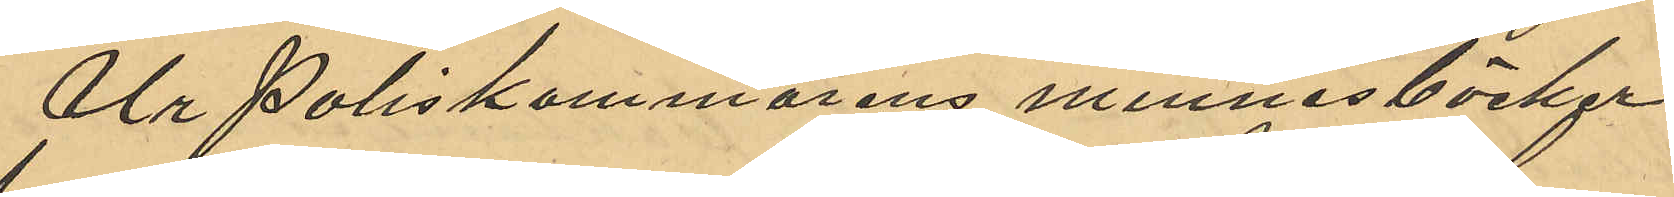Ur Poliskammarens minnesböcker
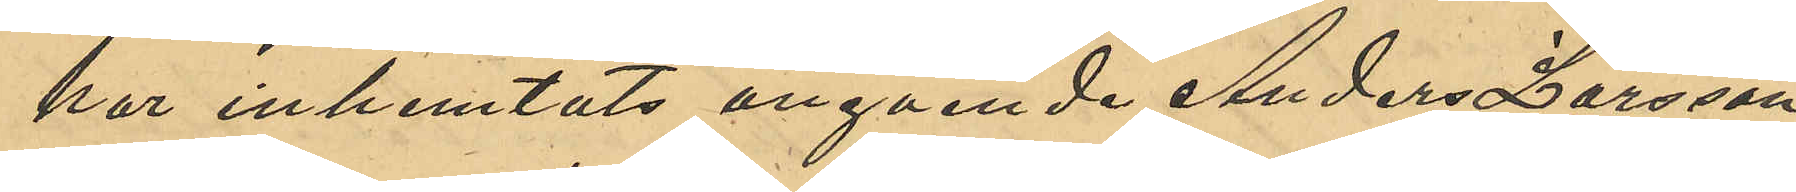har inhemtats angående Anders Larsson
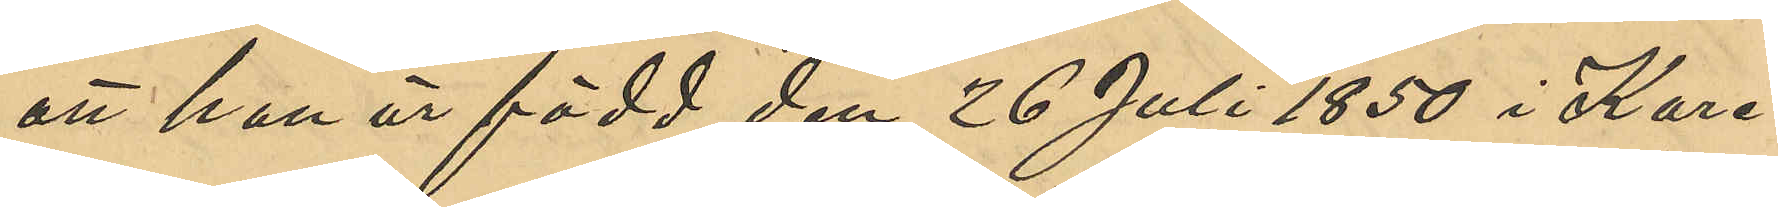att han är född den 26 Juli 1850 i Kare¬
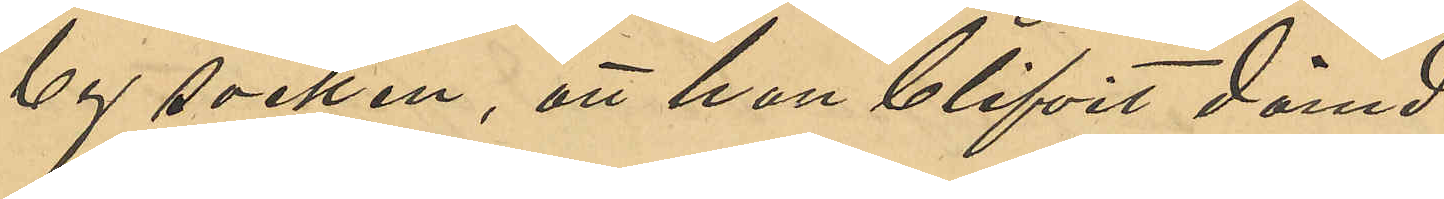by socken, att han blifvit dömd
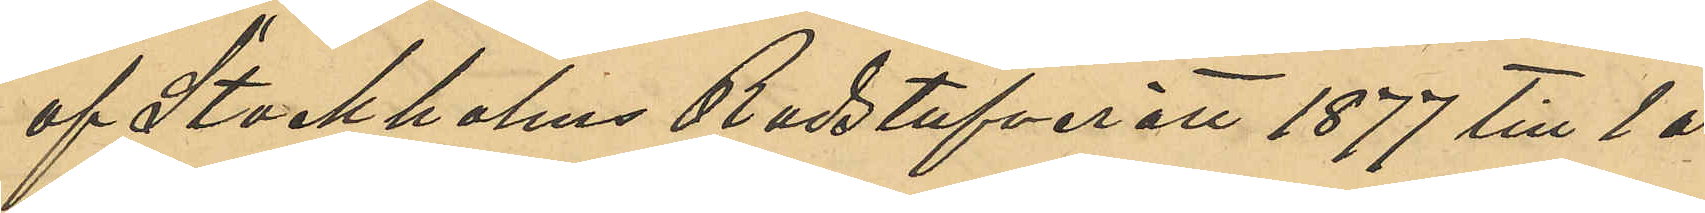af Stockholms Radstufverätt 1877 till 1 år
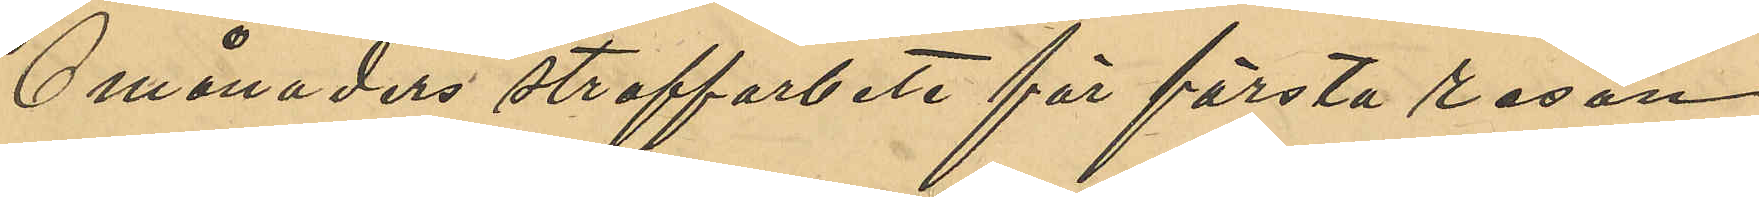6 månaders straffarbete för första resan
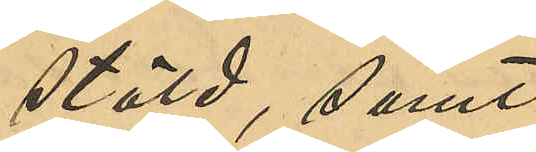stöld, samt
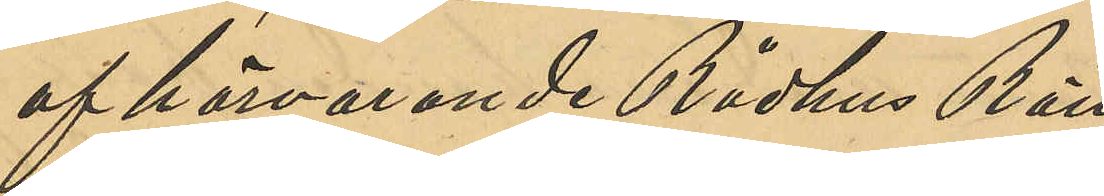af härvarande Rådhus Rätt
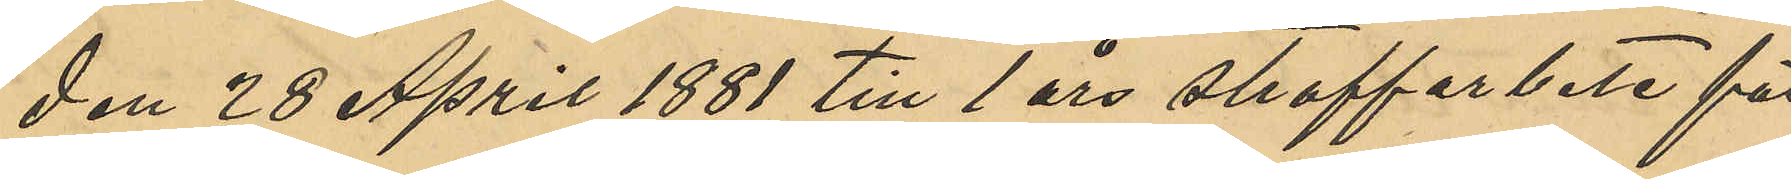den 28 April 1881 till 1 års straffabete för
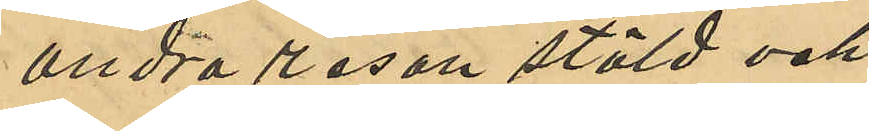andra resan stöld och
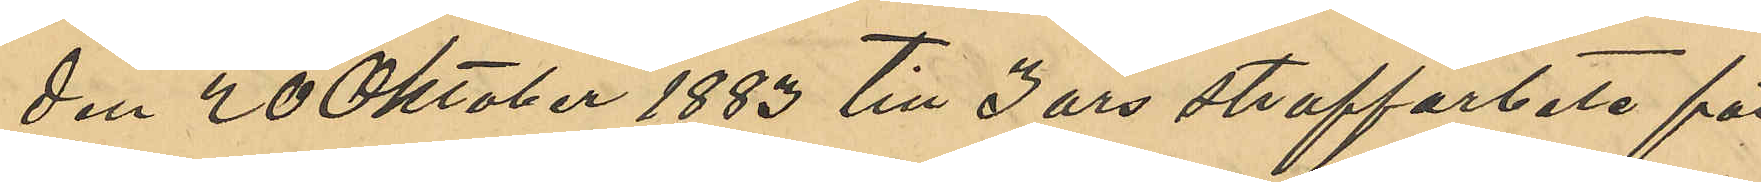den 20 Oktober 1883 till 3 års straffarbete för
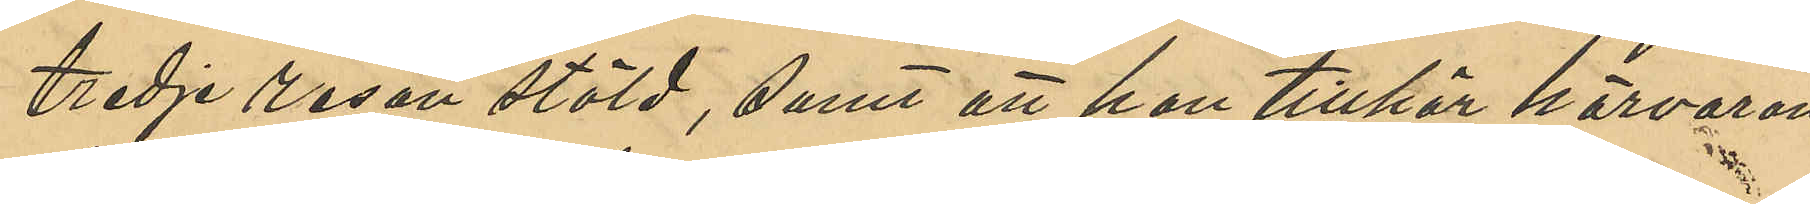tredje resan stöld, samt att han tillhör härvaran¬
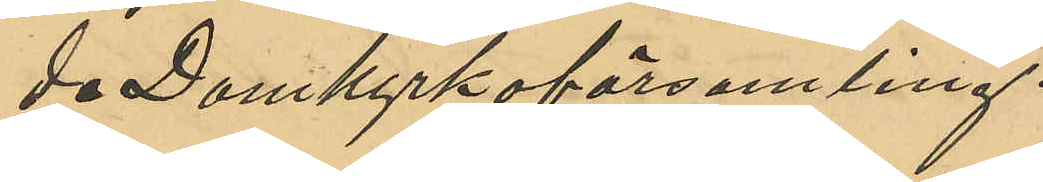de Domkyrkoförsamling.
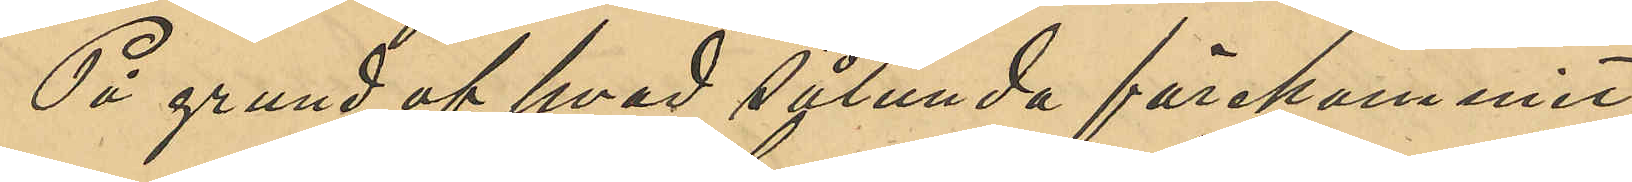På grund af hvad sålunda förekommit,
